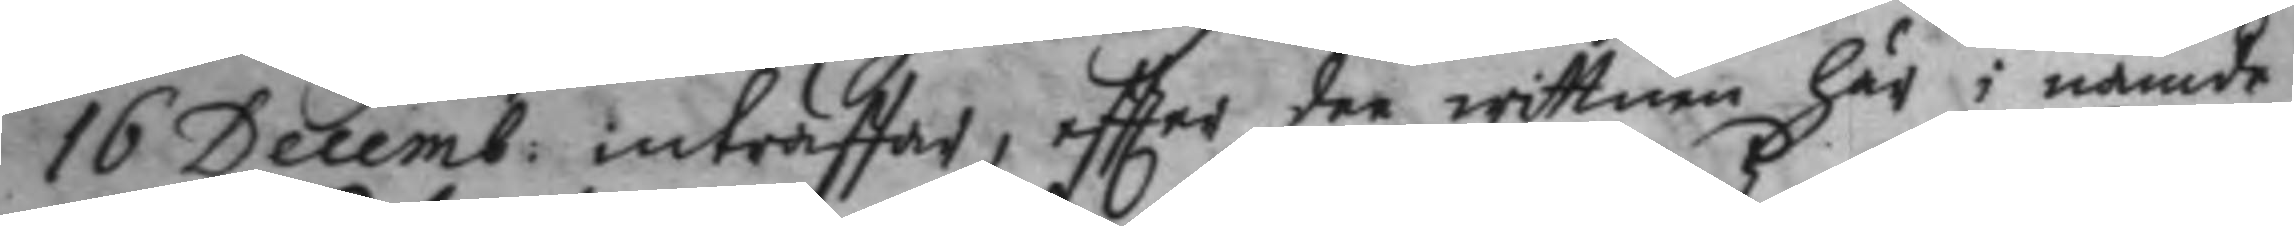16 Decemb: inträffar, eftter dee wittnen här i nämde
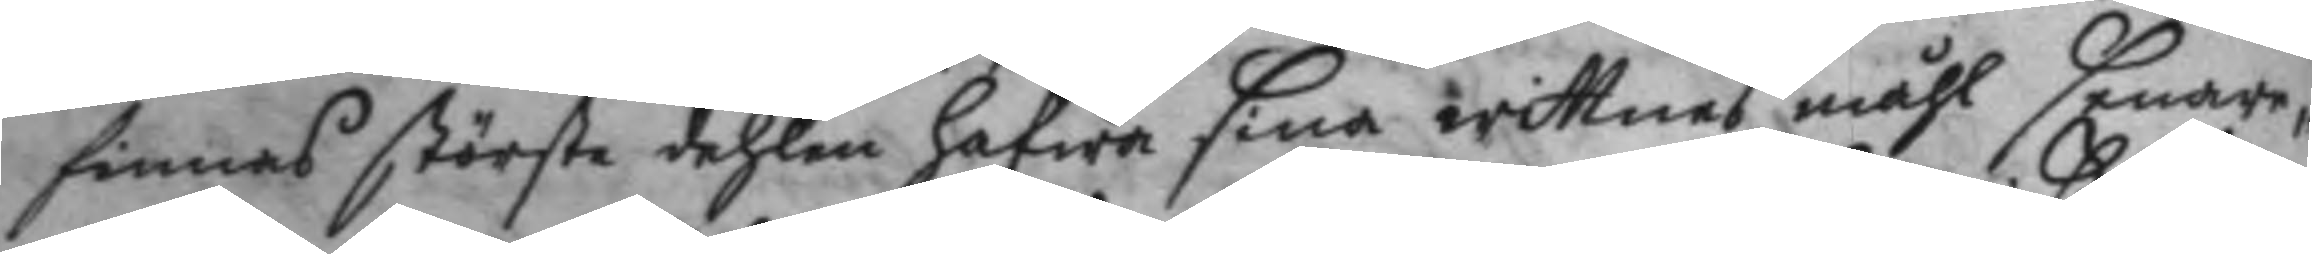finnas största dehlen Hafwa sina wittnes måhl senare
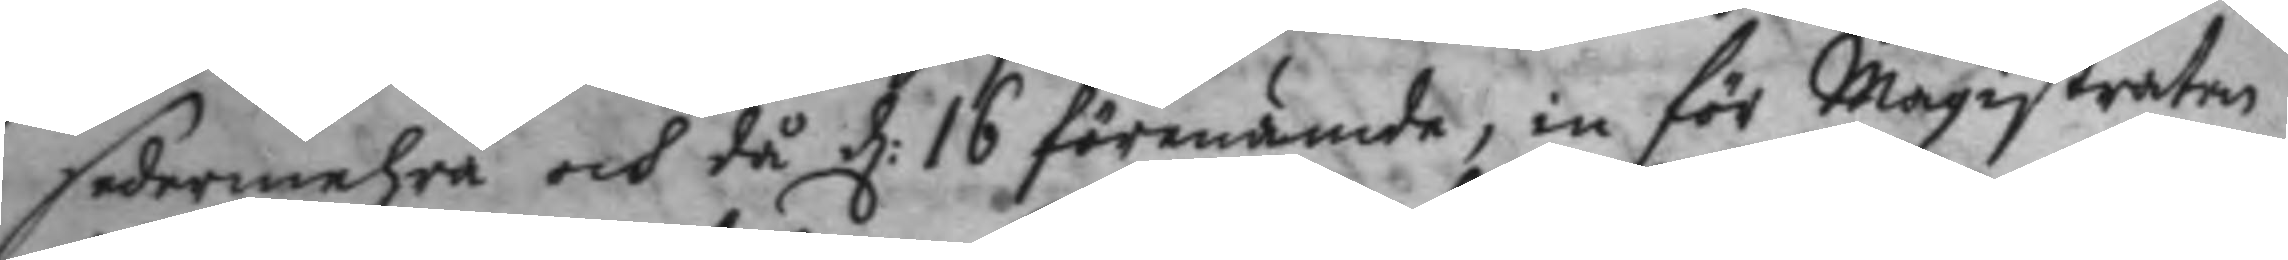sedermehra och då d: 16 förenämde, in för Magistraten
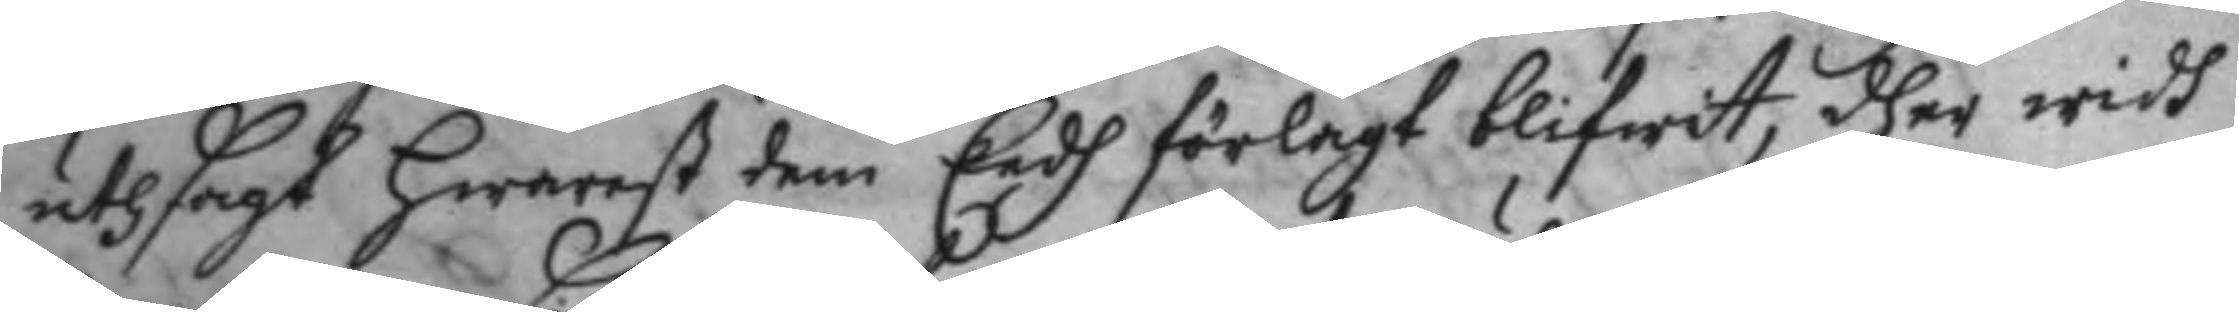uthsagt Hwarest dem Eedh frölagt blifwit, dher widh
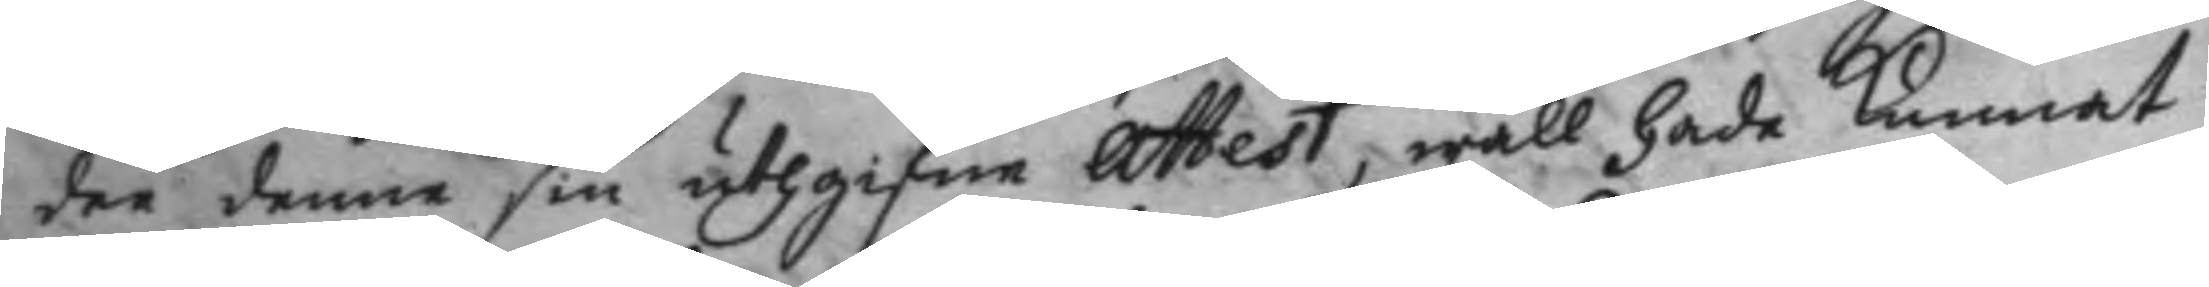dee denne sin uthgifne attest, wäll hade kunnat
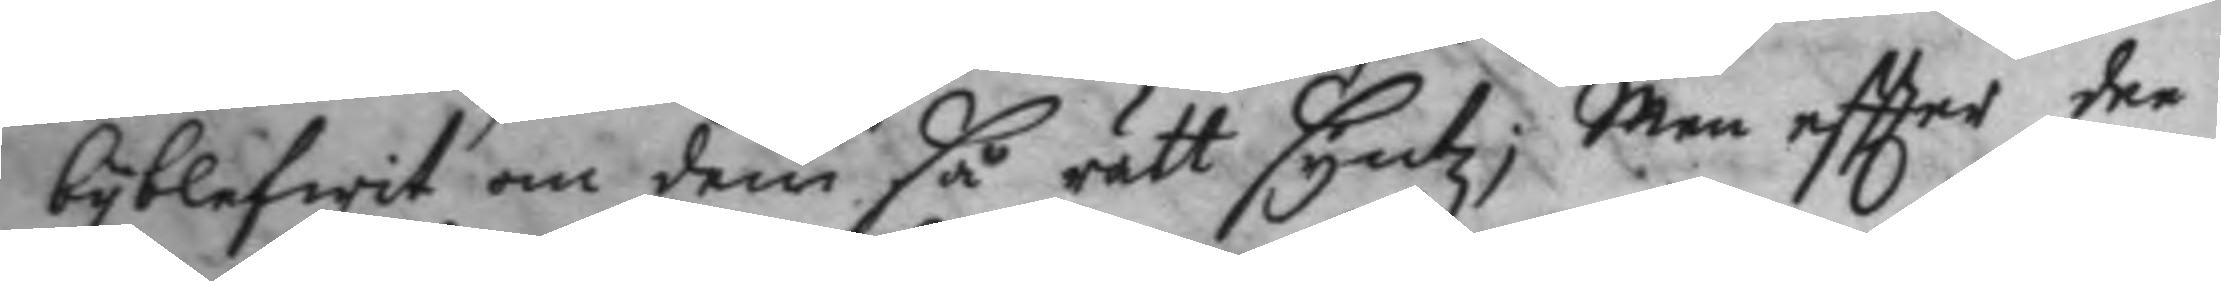byblefwit om dem så rätt syntz; Men eftter dee
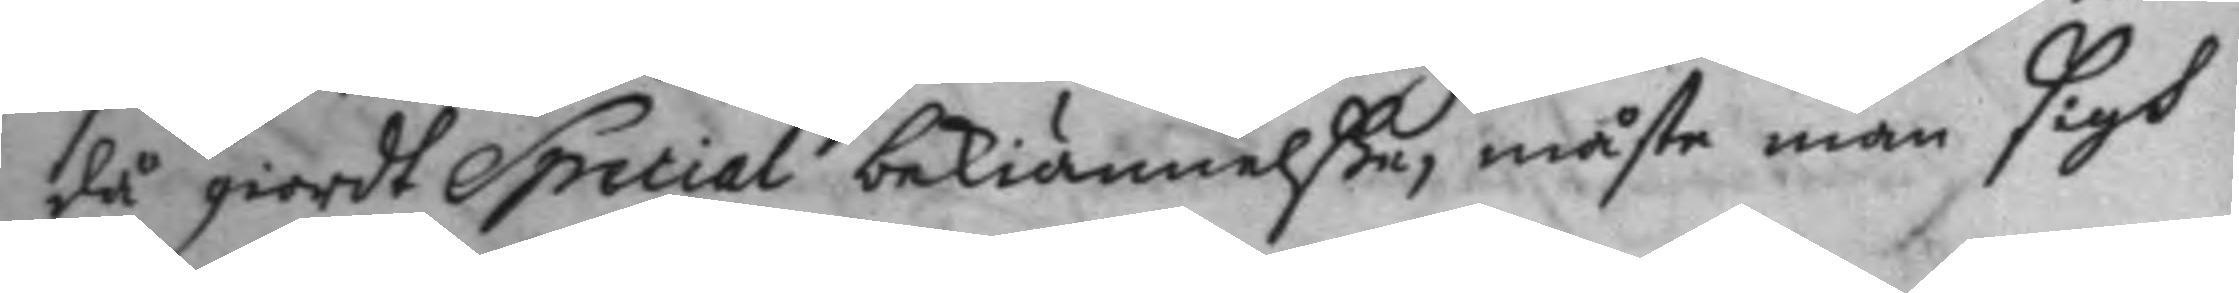då giordt Special bekiännelße, måste man sigh
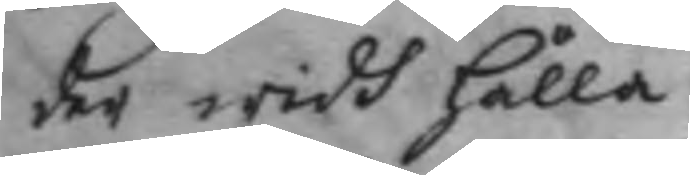der widh hålla.
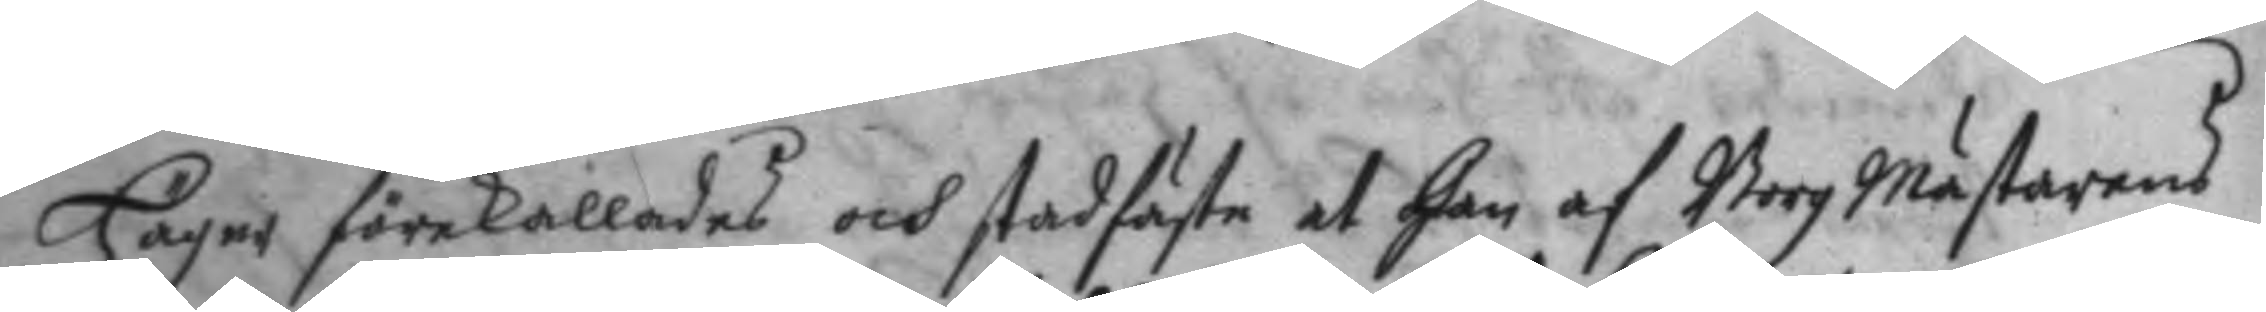Häger förekallades och stadfäste at han af BorgMästarens
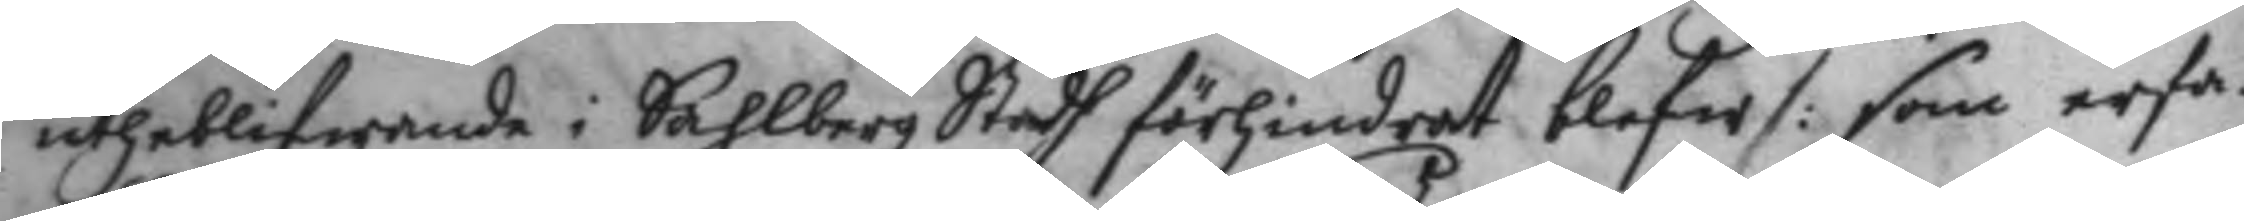utheblifwande i Sahlbergz Stadh förhindrat blefw /: som erfa¬
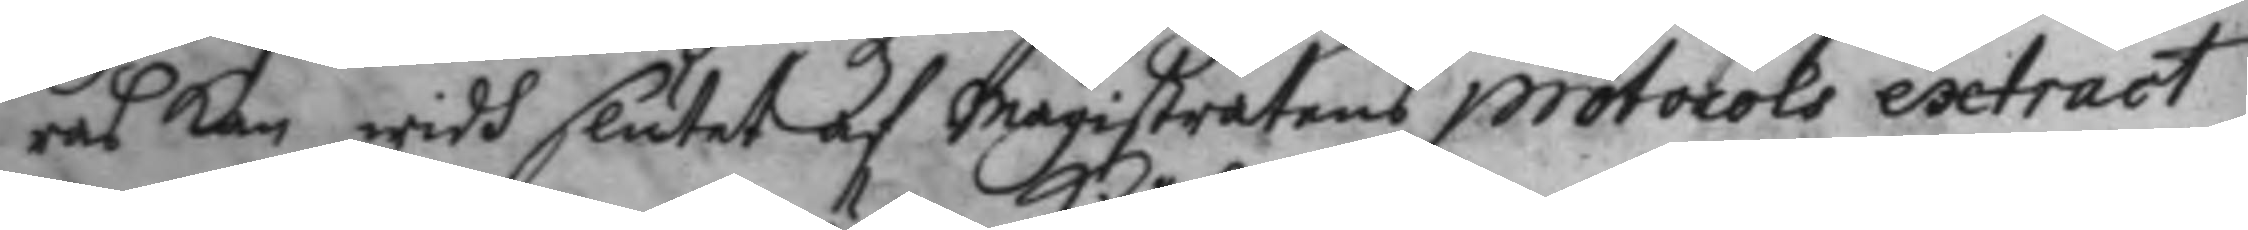ras kan widh slutet af Magistratens protocols extract
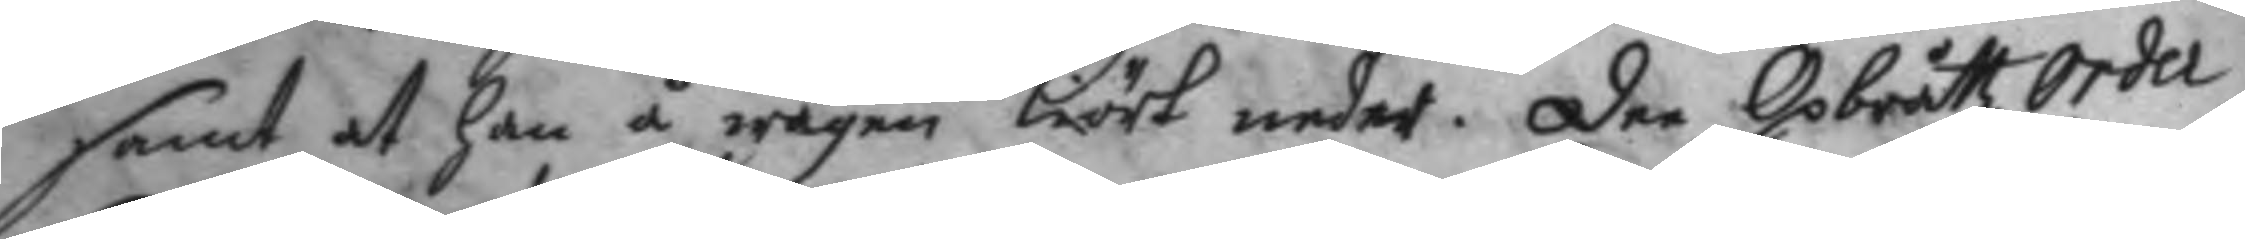samt at han å wägen Kiört under. dee OpbråttzOrder
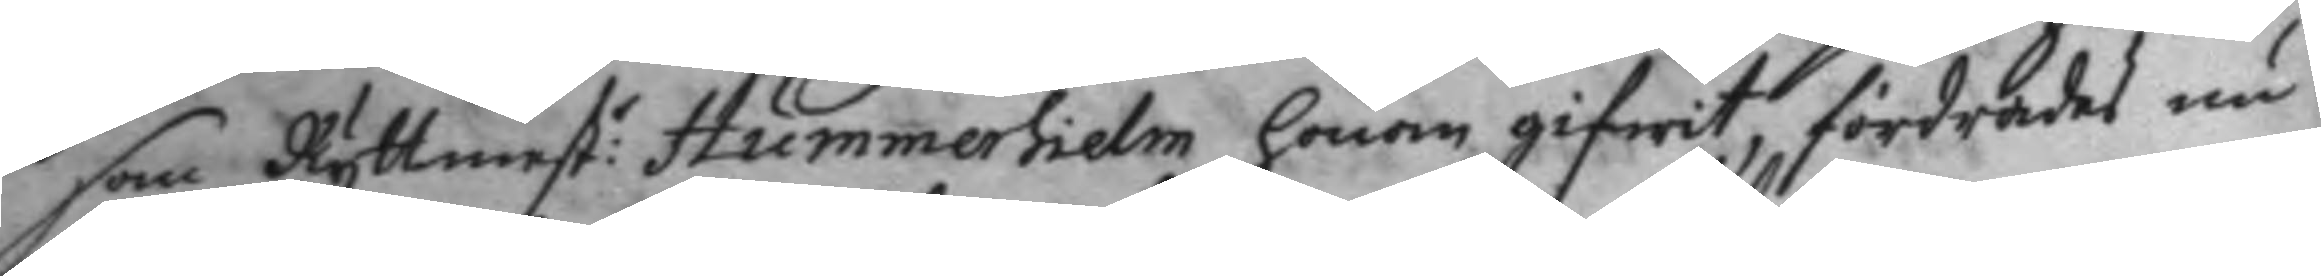som Ryttmest: Hummerhielm honom gifwit, fördrades nu
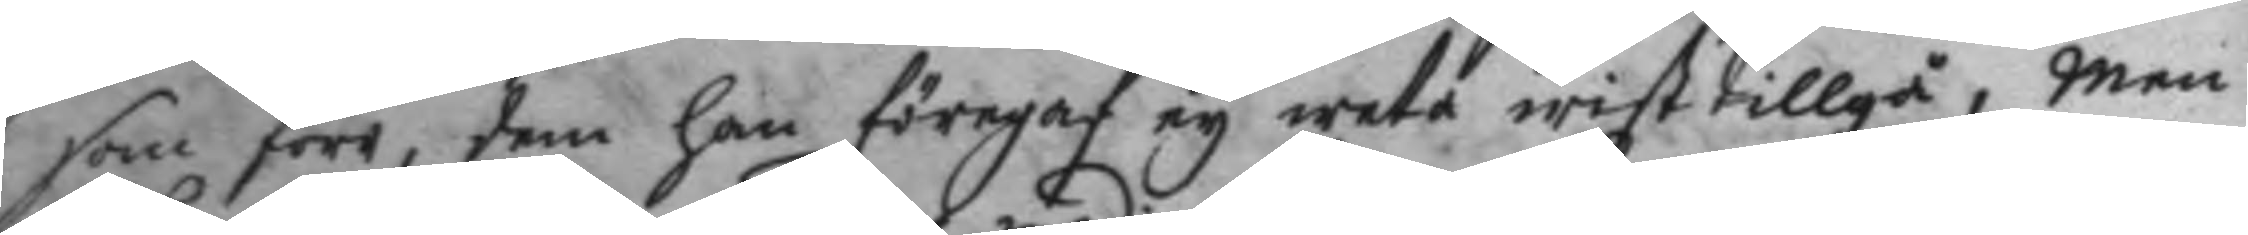som förr, dem han föregaf ey weta wist tillgå, men
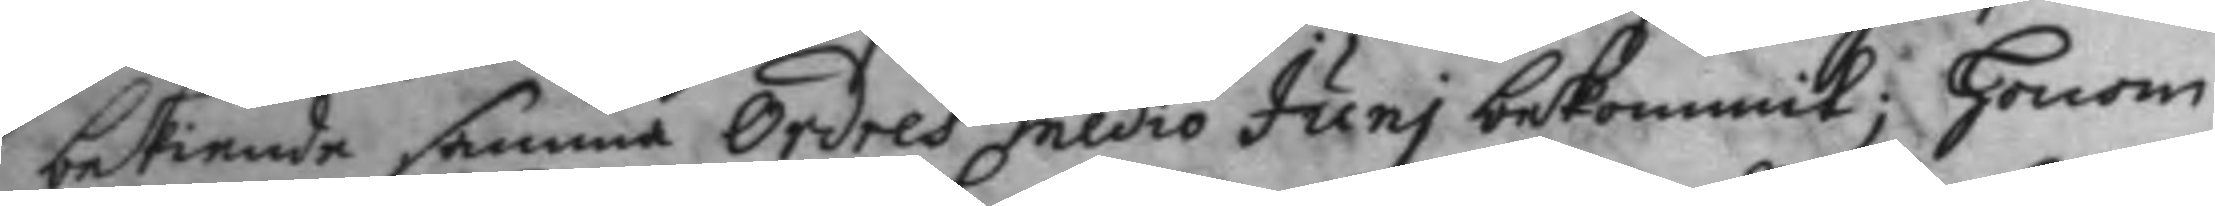bekiende samma Ordres medio Juni bekommit; Honom
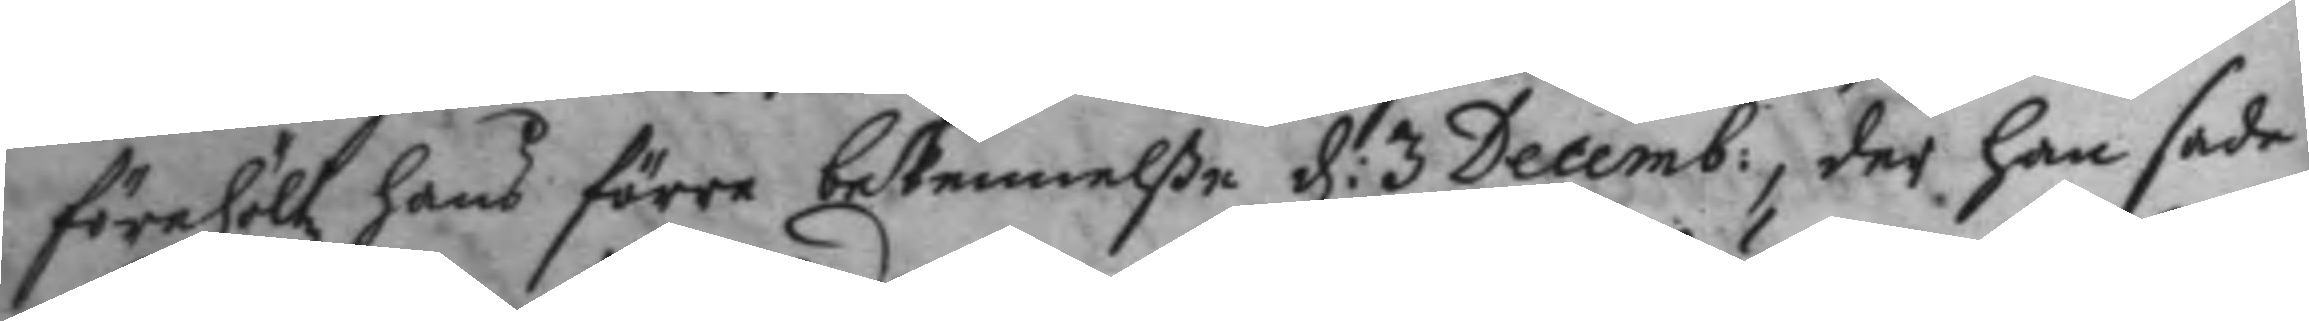förehöltz hans förre bekennelße d: 3 Decemb:, der han sade
